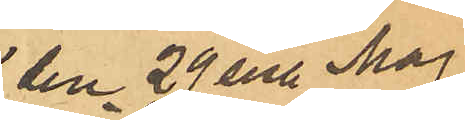den 29 sist. Maj
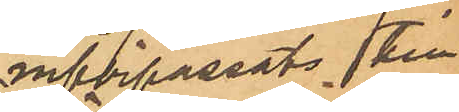införpassats till
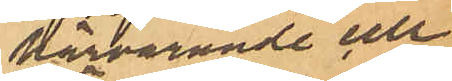härvarande cell¬
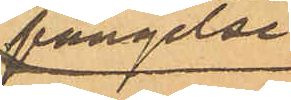fängelse
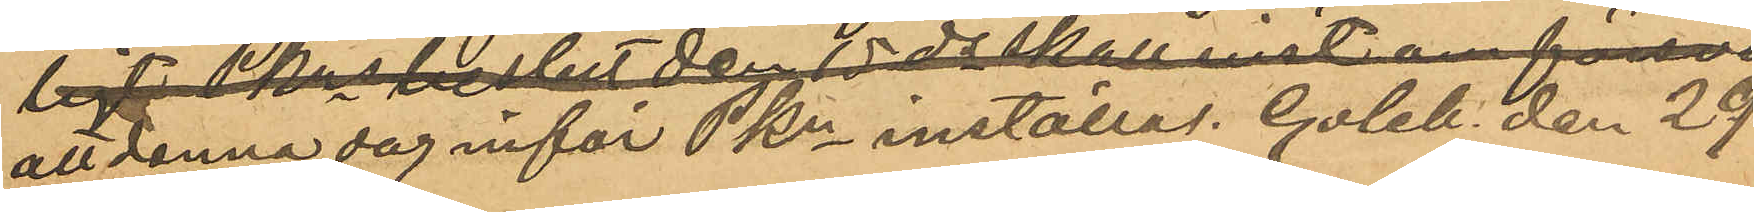att denna dag inför Pkn inställas. Goteb. den 29
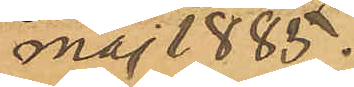Maj 1885.
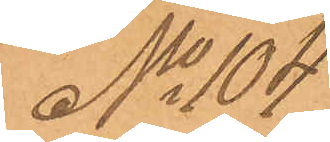No 104
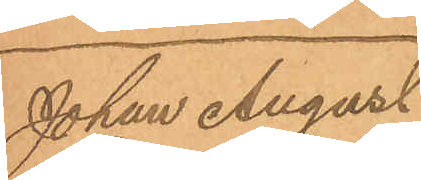Johan August
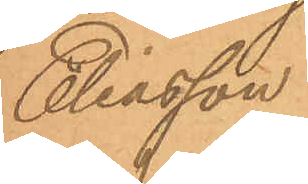Eliasson.
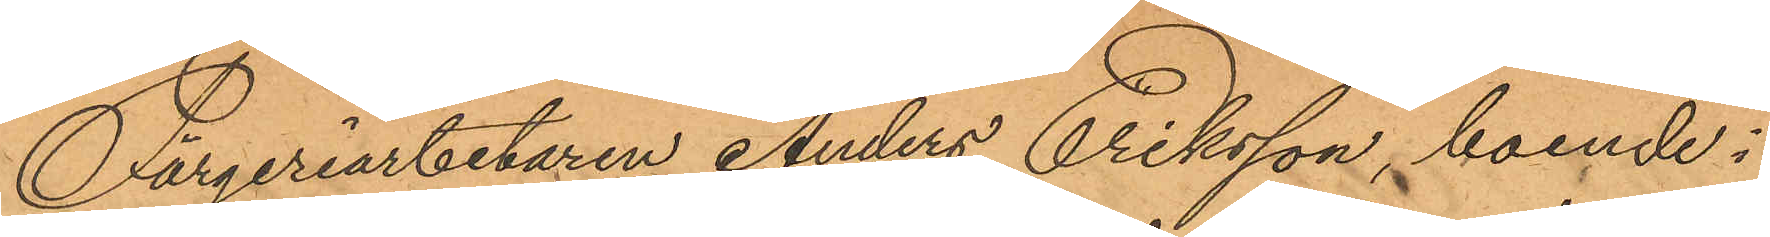Färgeriarbetaren Anders Eriksson, boende i
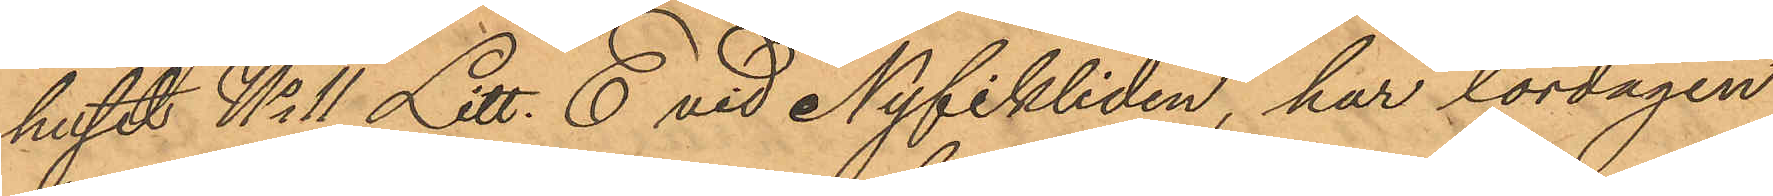huset No 11 Litt. E vid Nyfikliden, har lördagen
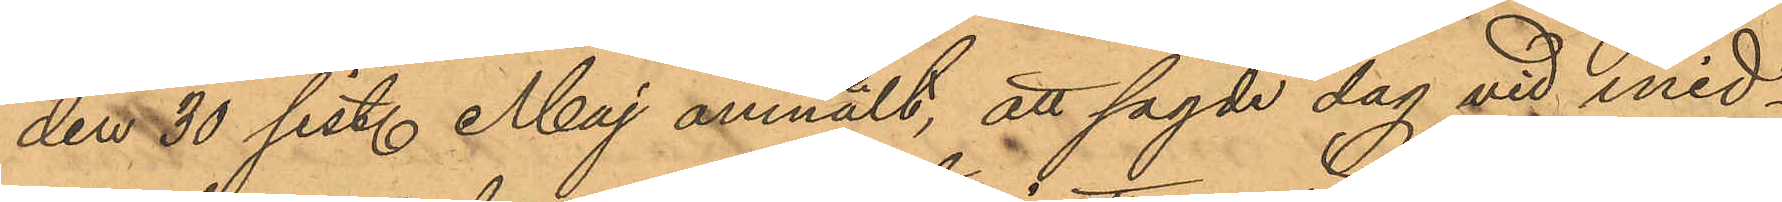den 30 sist. Maj anmält, att sagde dag vid mid¬
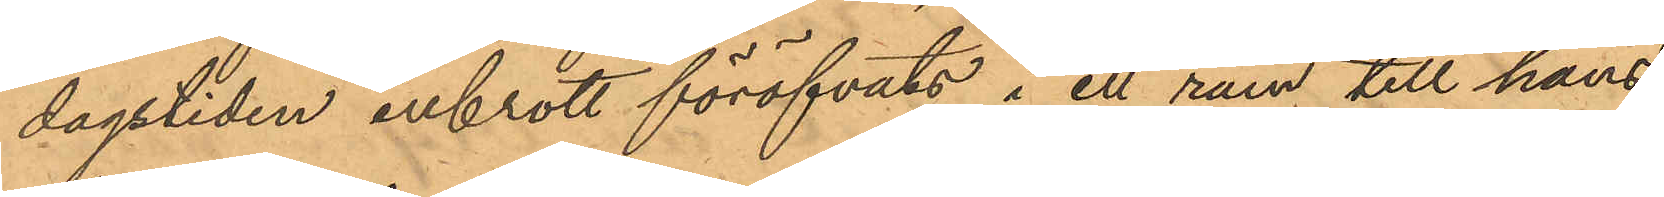dagstiden inbrott föröfvats i ett rum till hans
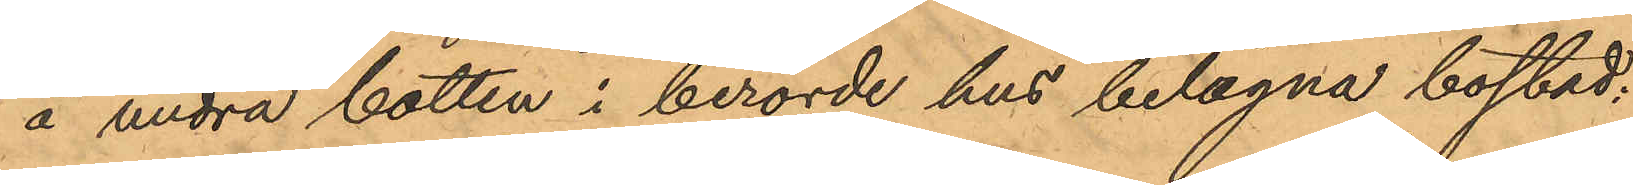å undra botten i berörde hus belägna bostad;
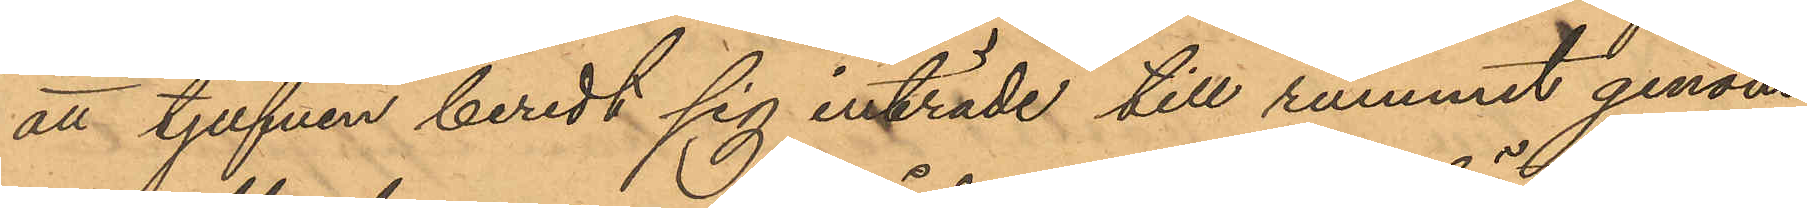att tjufven beredt sig inträde till rummet genom
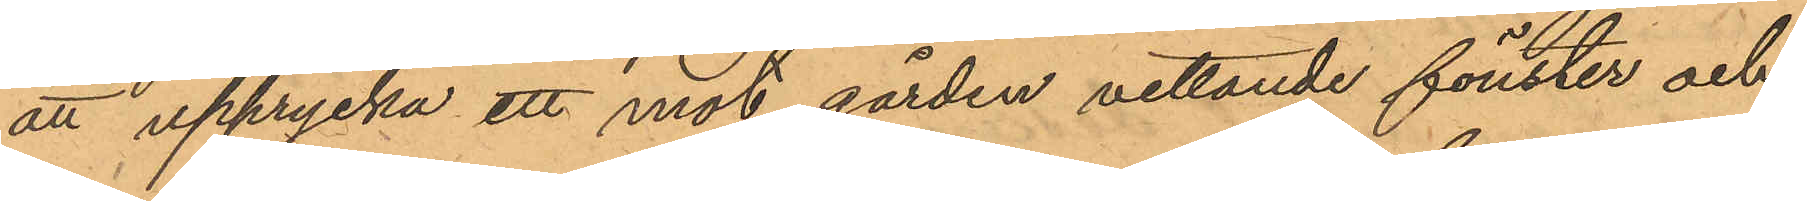att upprycka ett mot gården vettande fönster och
